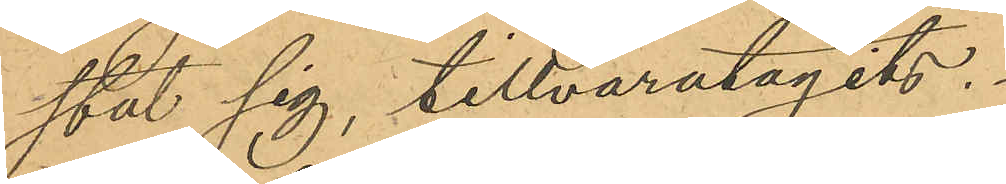stat sig, tillvaratagits.
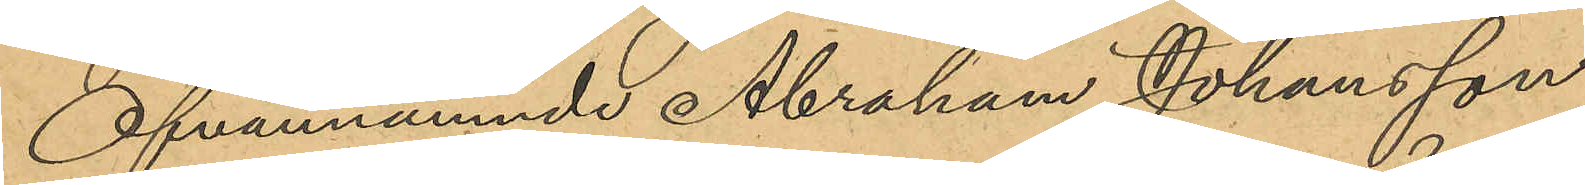Ofvannämnde Abraham Johansson
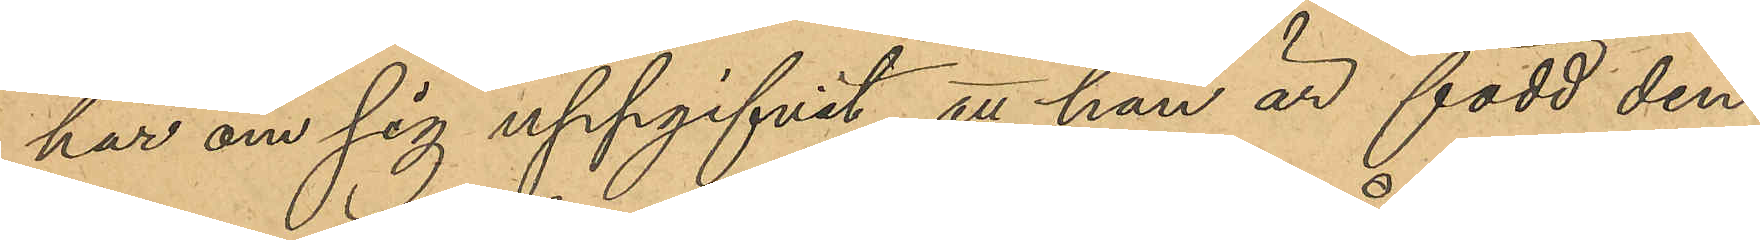har om sig uppgifvit, att han är född den
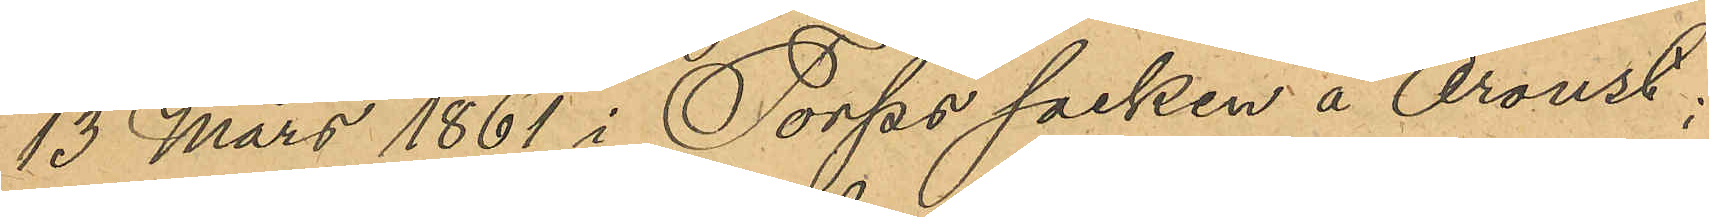13 Mars 1861 i Torps socken å Oroust;
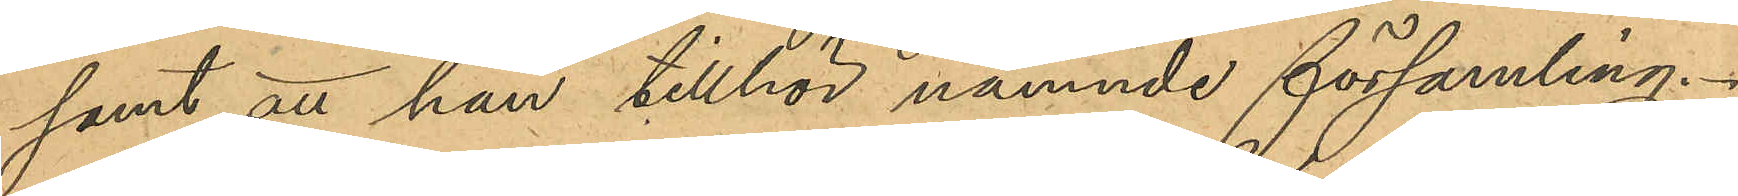samt att han tillhör nämnde församling.
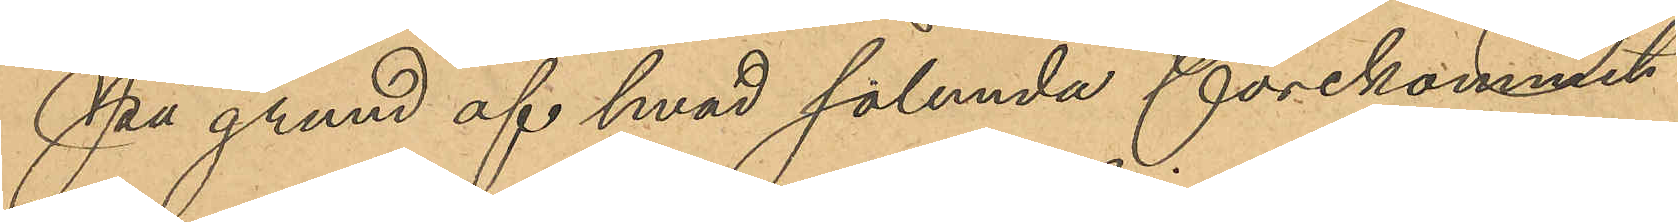På grund af hvad sålunda förekommit
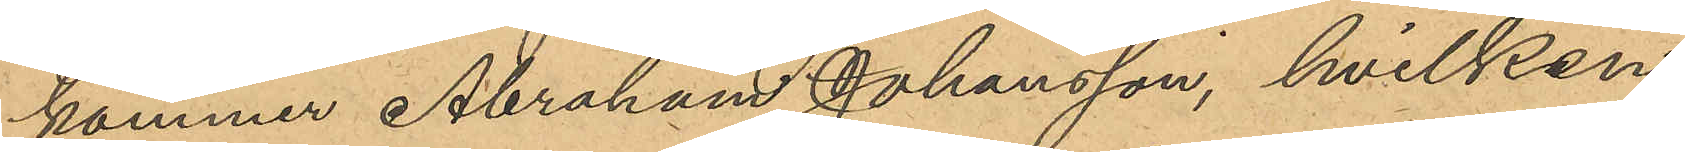kommer Abraham Johansson, hvilken
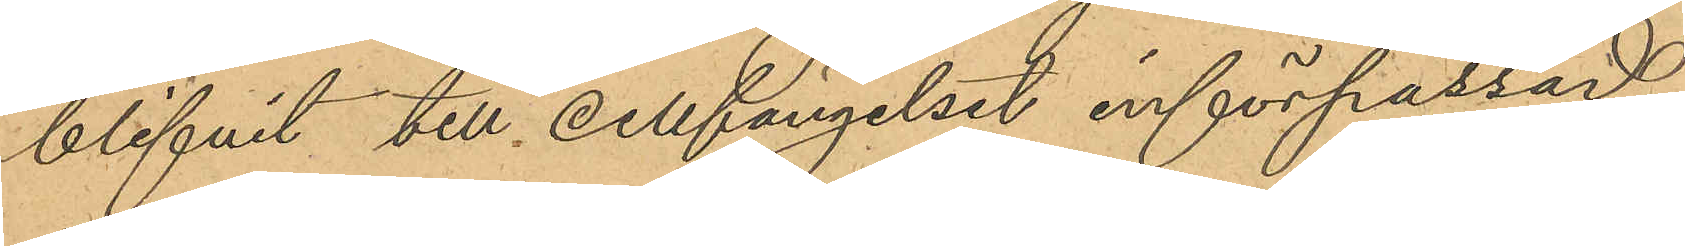blifvit till cellfängelset införpassad,
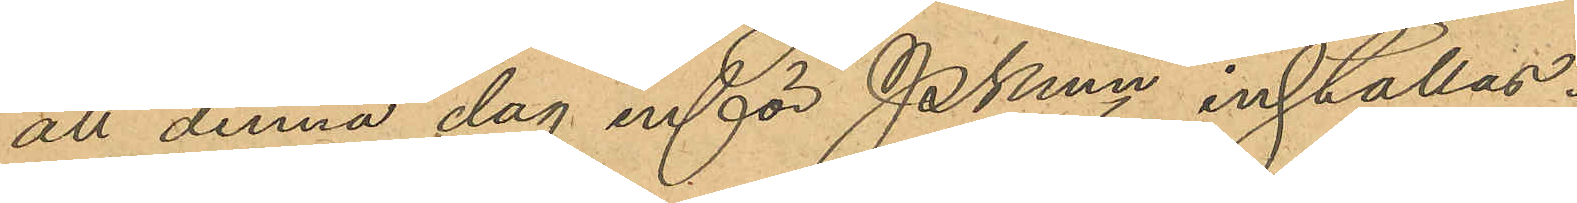att denna dag inför Pkmn inställas.
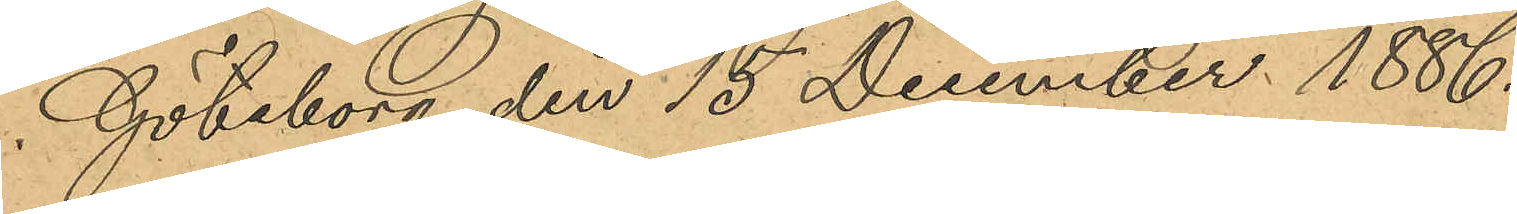Göteborg den 15 December 1886.
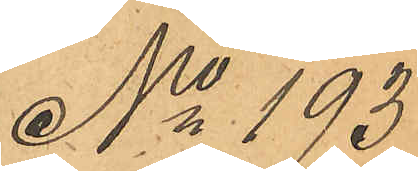No 193
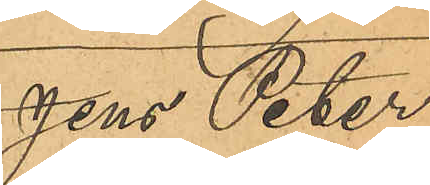Jens Peter
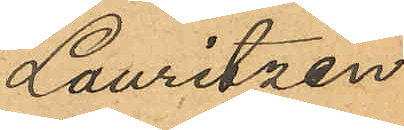Lauritzen
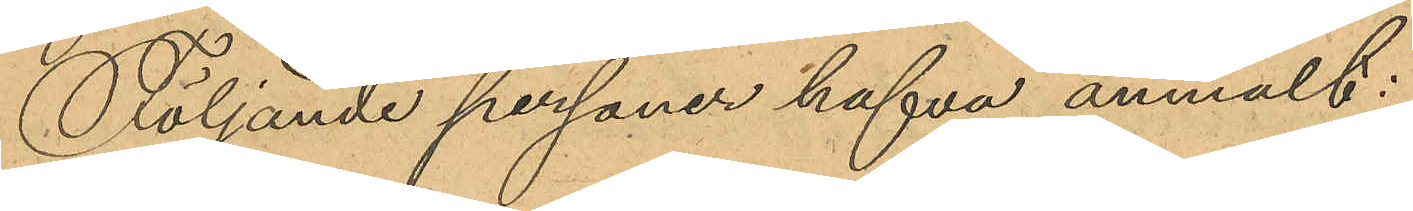Följande personer hafva anmält:
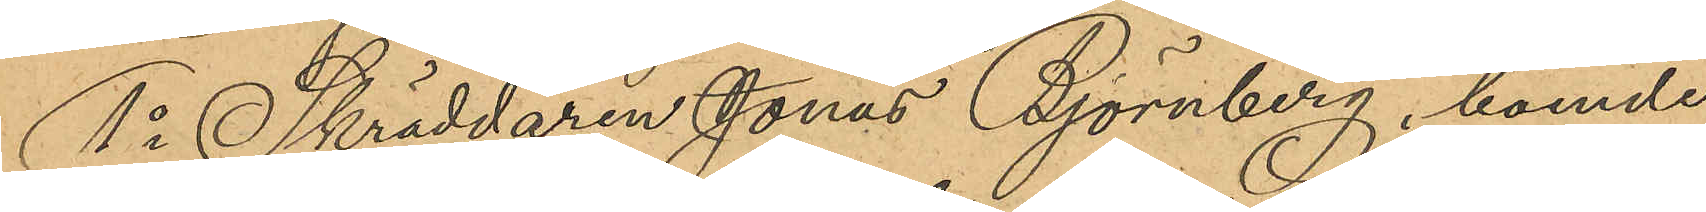1o Skräddaren Jonas Björnberg, boende
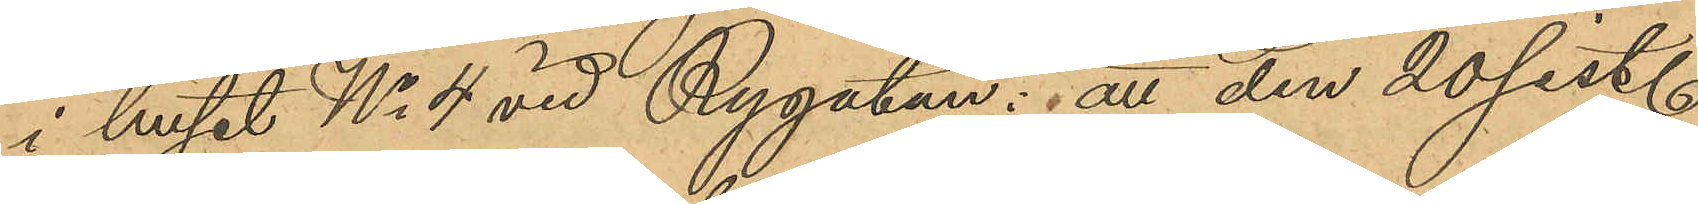i huset No 4 vid Rygatan: att den 20 sist.
